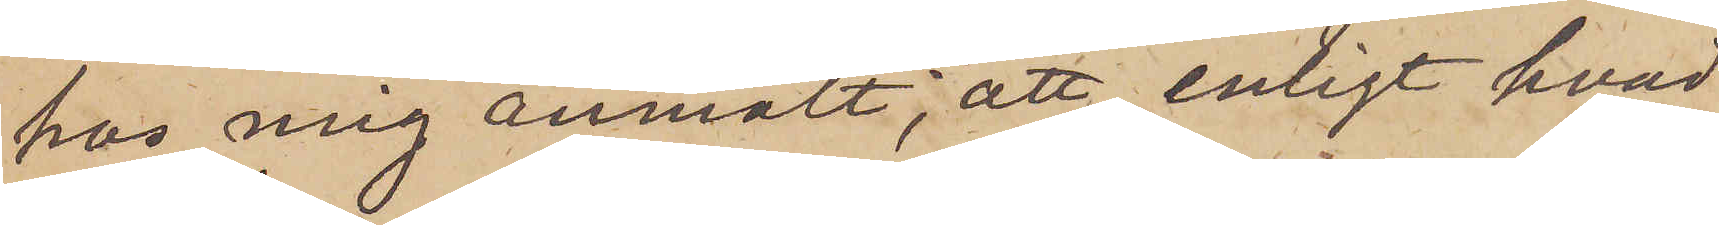hos mig anmält; att, enligt hvad
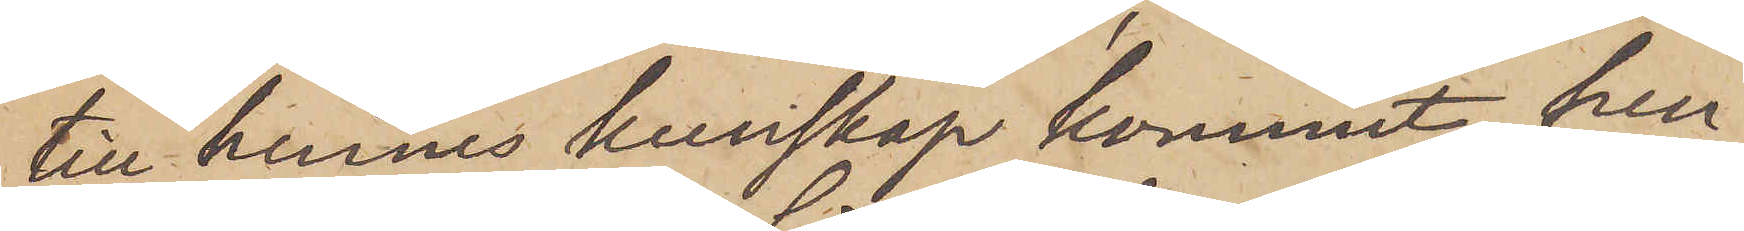till hennes kunskap kommit, hen¬
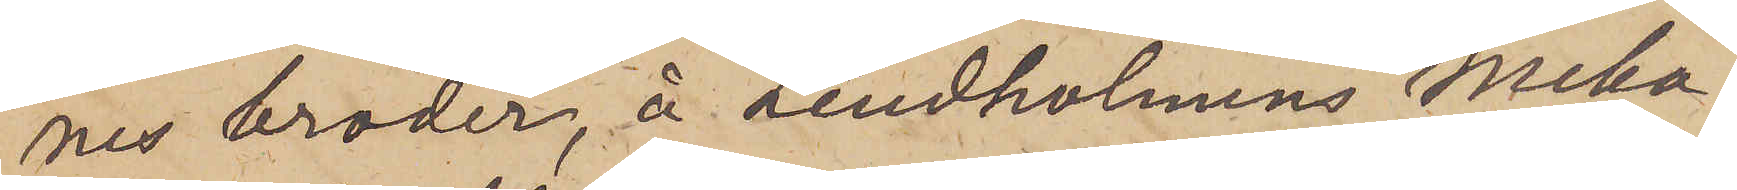nes broder, å Lindholmens Meka¬
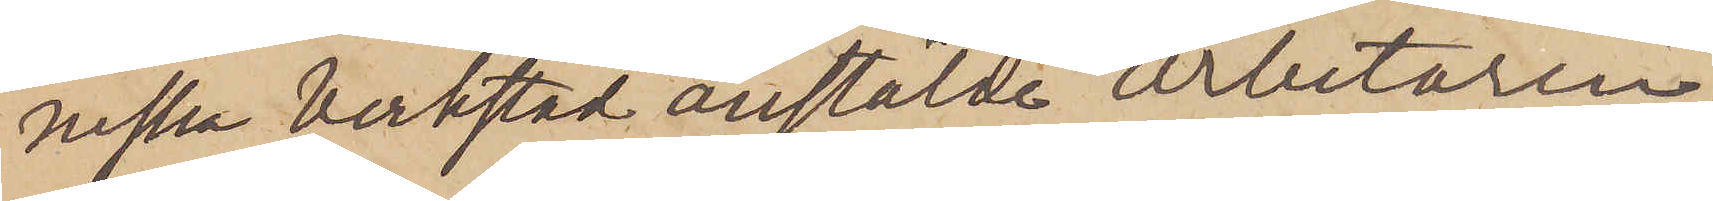niska verkstad anstälde arbetaren
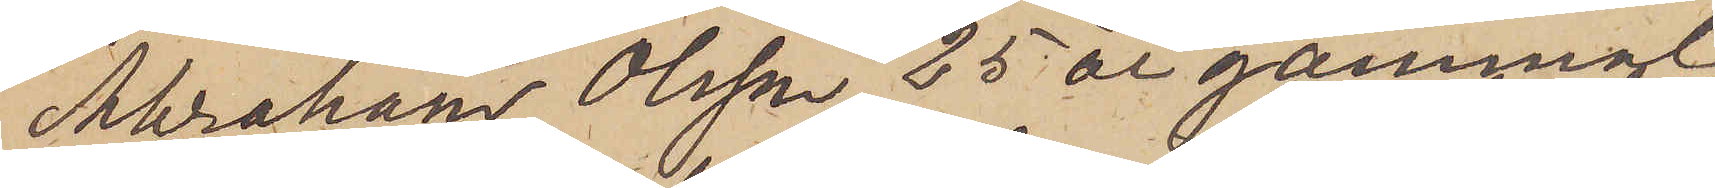Abraham Olsson 25 år gammal
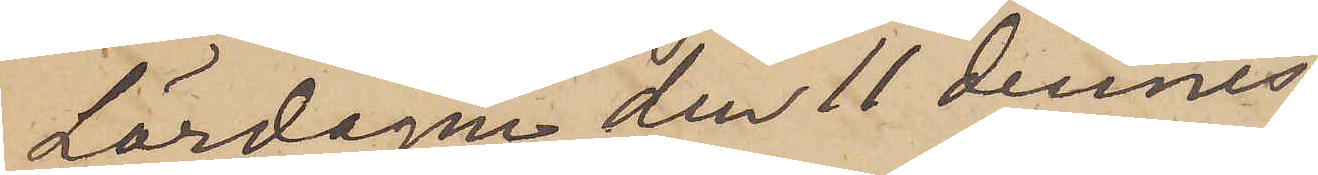Lördagen den 11 dennes,
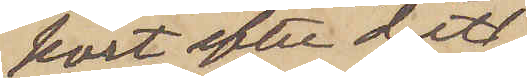kort efter det
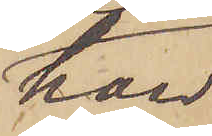han
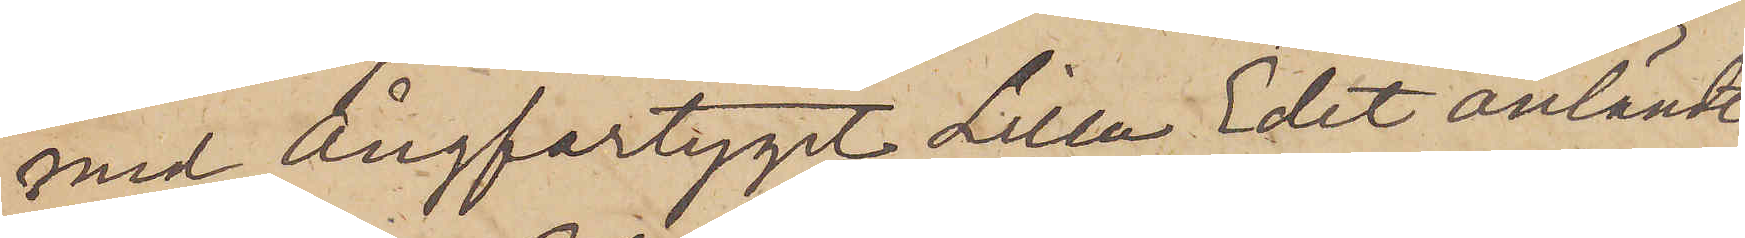med Ångfartyget Lilla Edet anländt
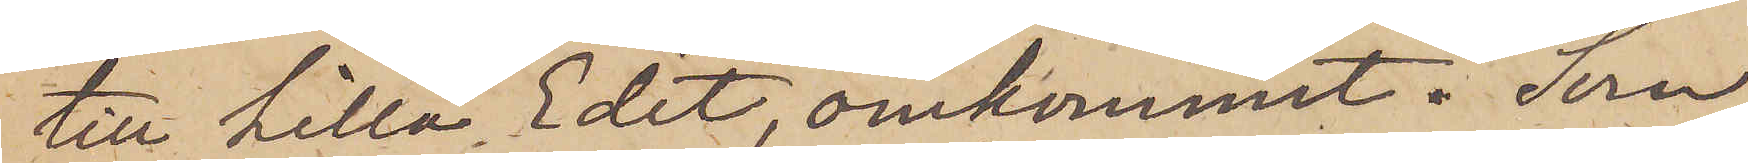till Lilla Edet, omkommit. Som
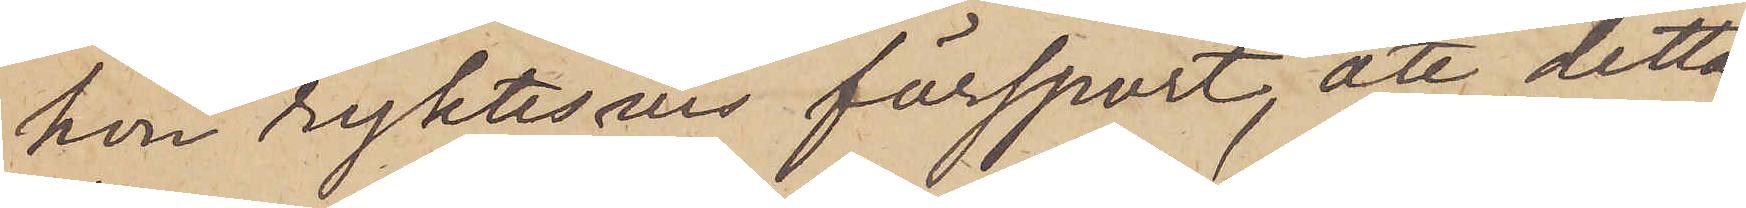hon ryktesvis försport, att detta
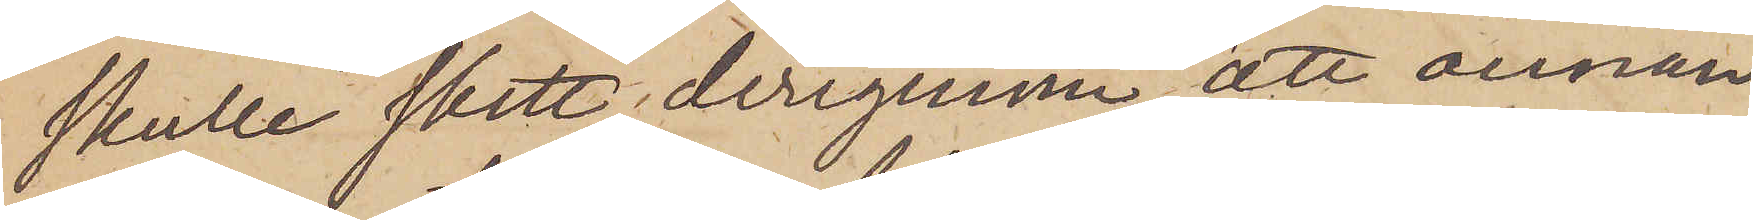skulle skett derigenom, att annan
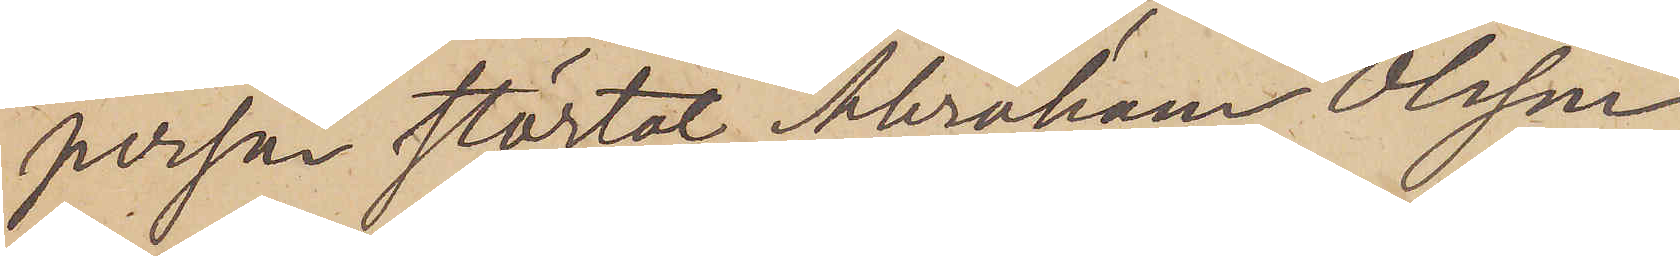person störtat Abraham Olsson
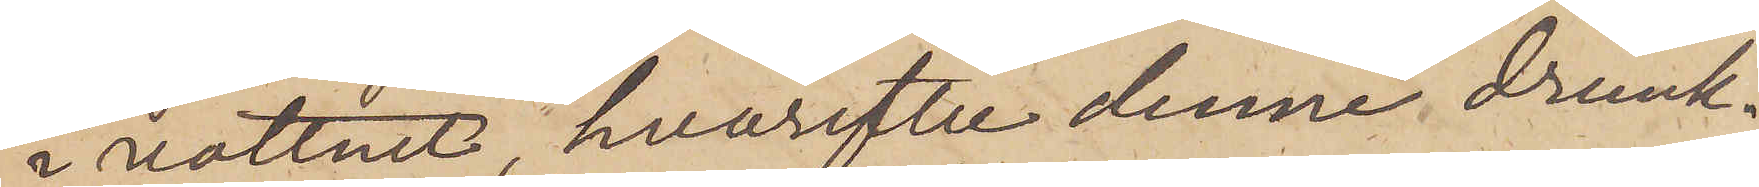i vattnet, hvarefter denne drunk¬
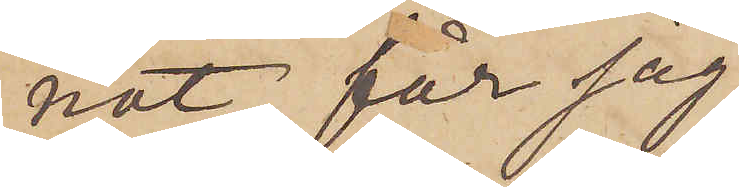nat, får jag
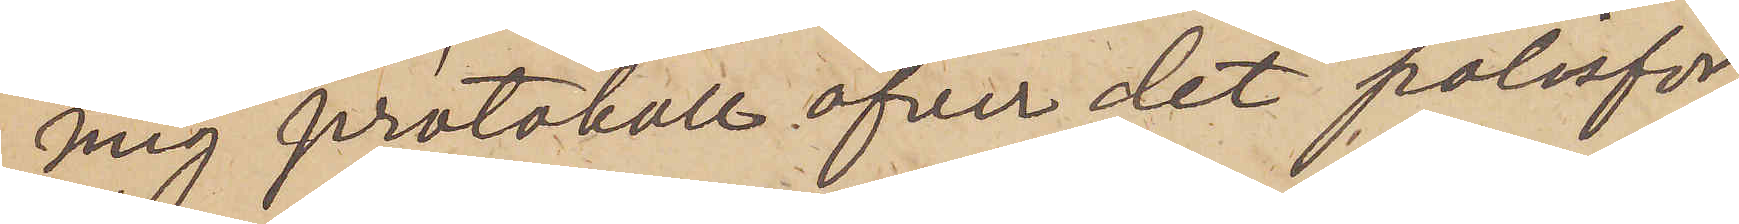mig protokoll öfver det polisför¬
